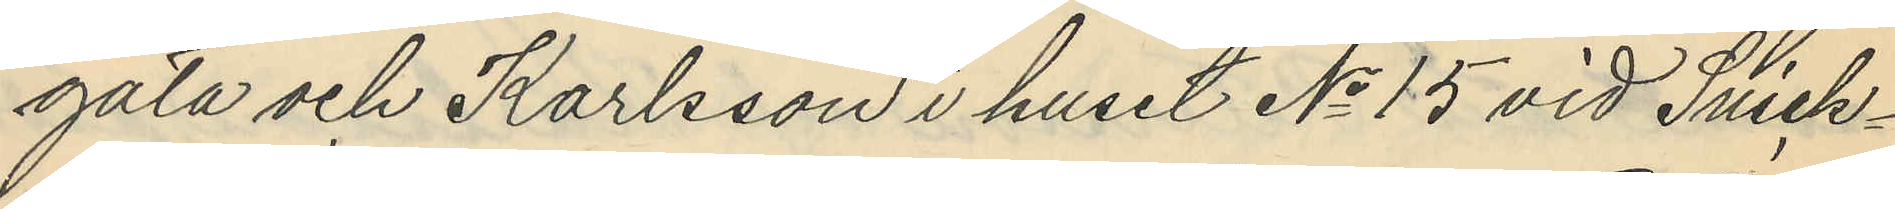gata och Karlsson i huset No 15 vid Snick¬
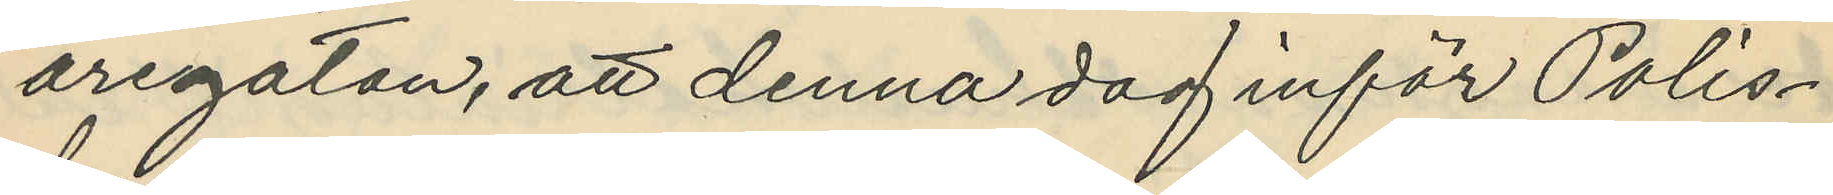aregatan, att denna dag inför Polis¬
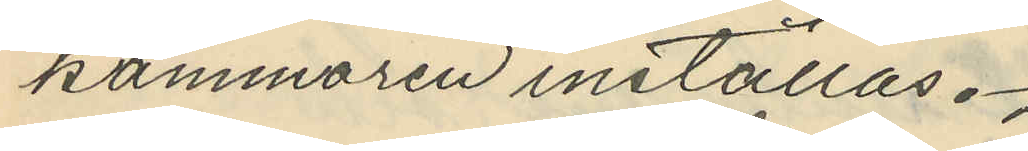kammaren inställas.
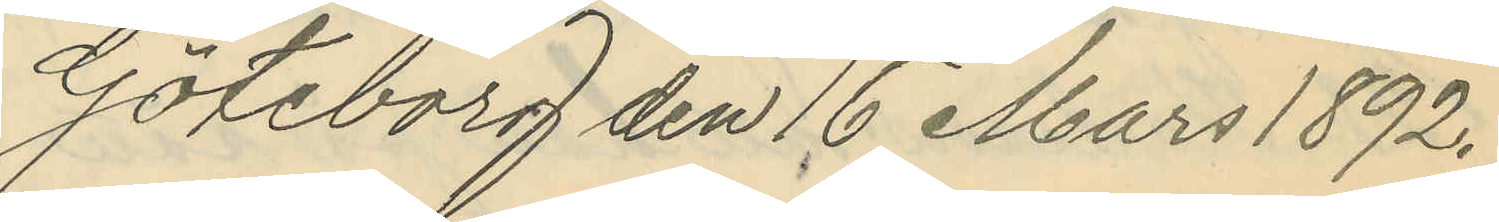Göteborg den 16 Mars 1892.
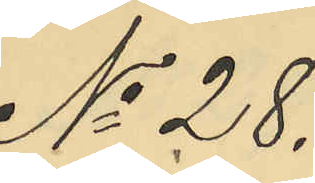No 28.
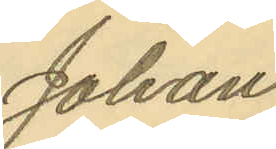Johan
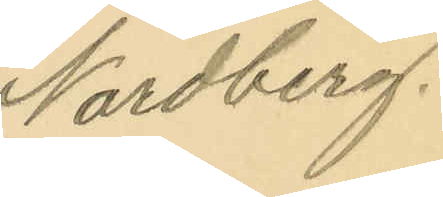Nordberg.
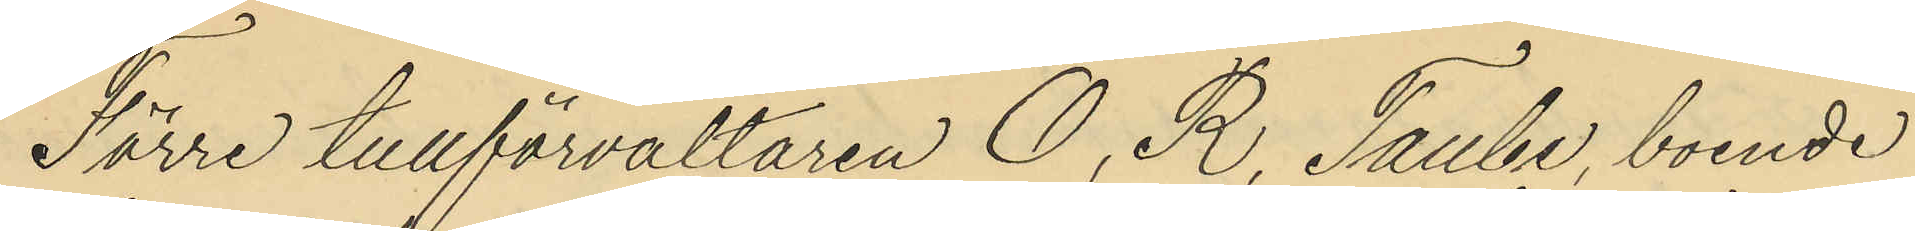Förre tullförvaltaren O. R. Taube, boende
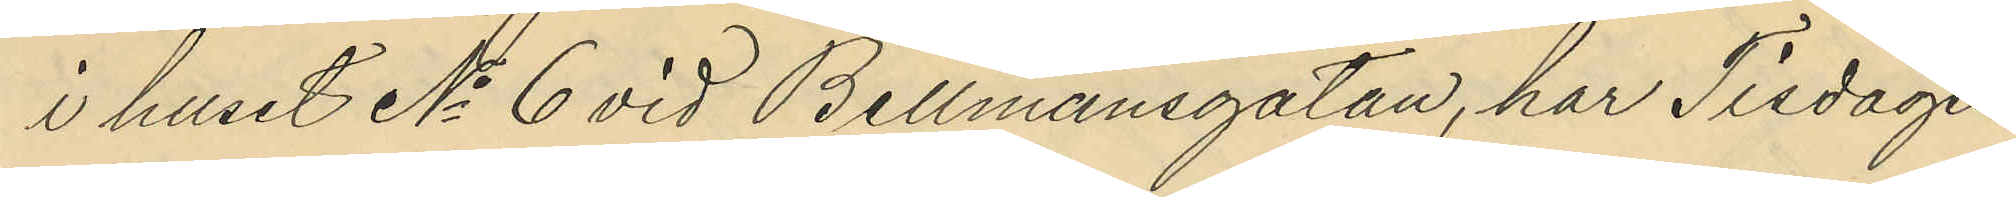i huset No 6 vid Bellmansgatan, har Tisdagen
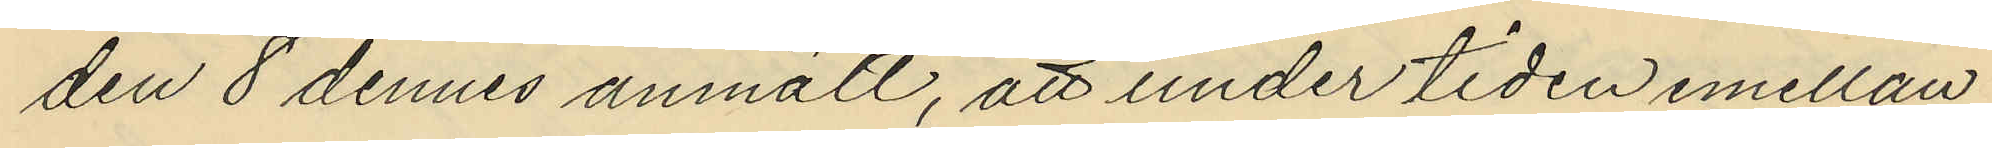den 8 dennes anmält, att under tiden emellan
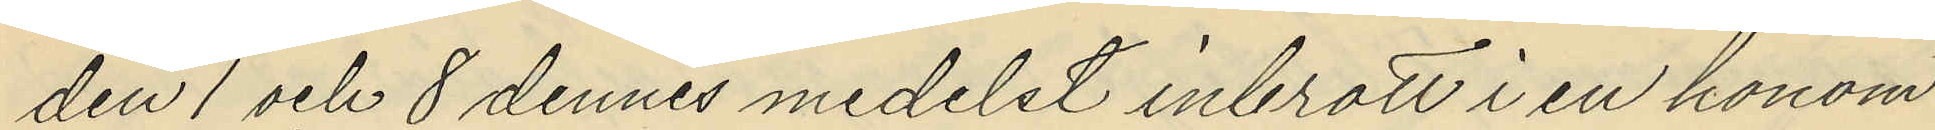den 1 och 8 dennes medelst inbrott i en honom
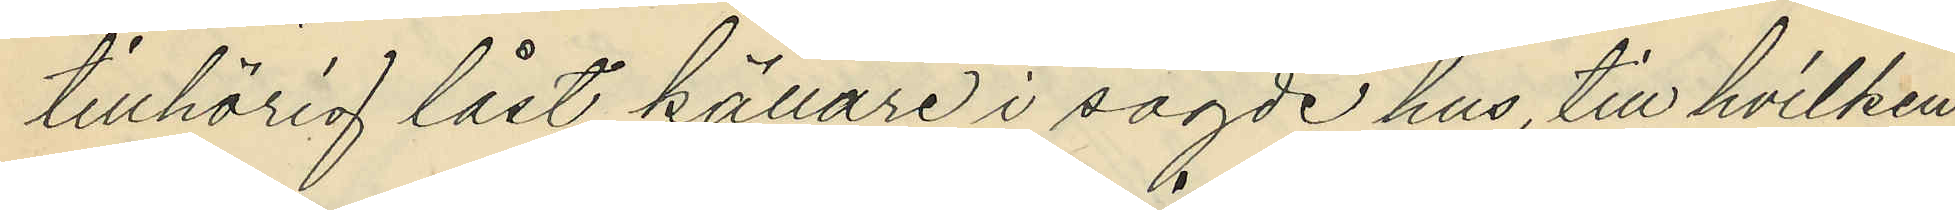tillhörig låst källare i sagde hus, till hvilken
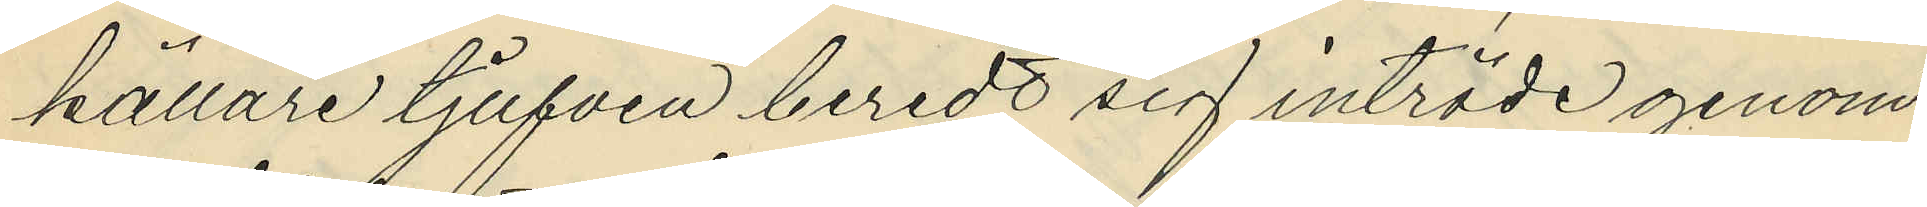källare tjufven beredt sig inträde genom
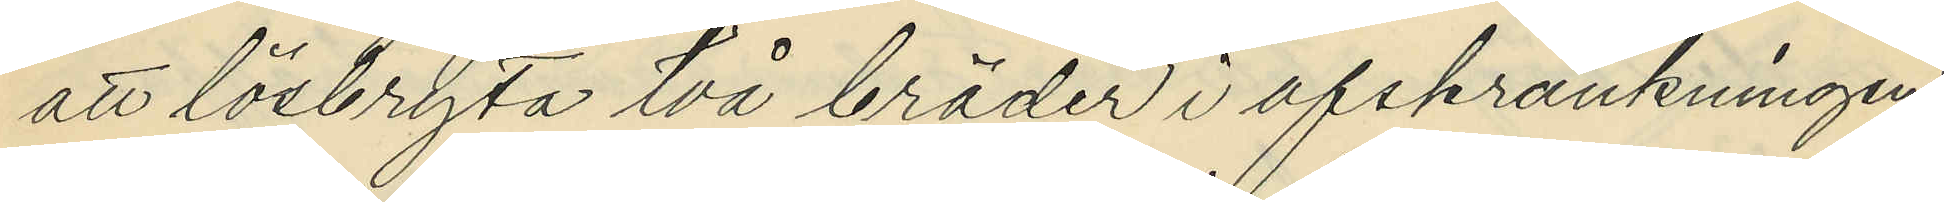att lösbryta två bräder i afskrankningen
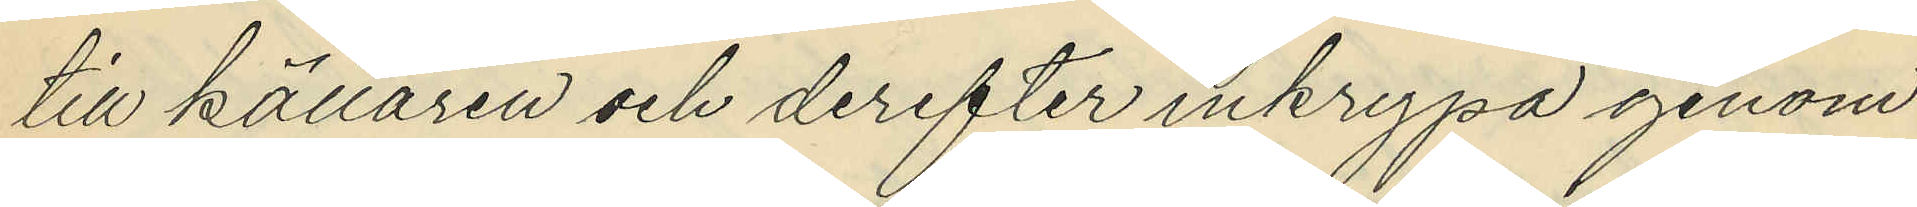till källaren och derefter inkrypa genom
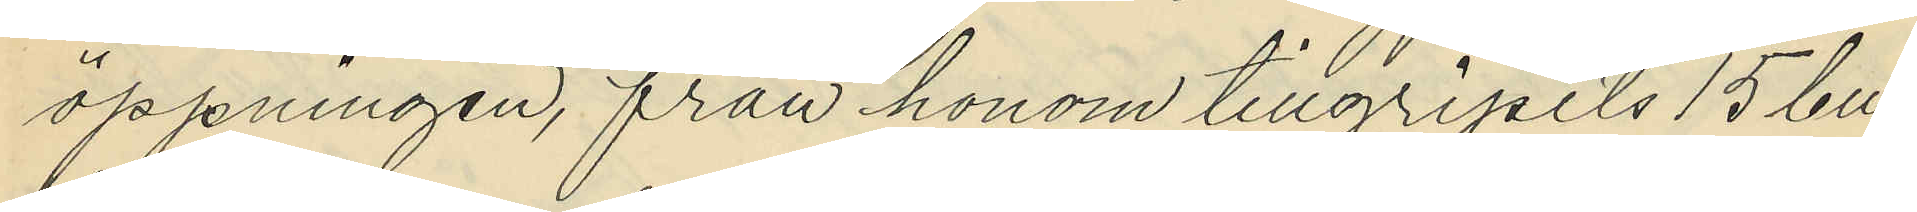öppningen, från honom tillgripits 15 bu¬
